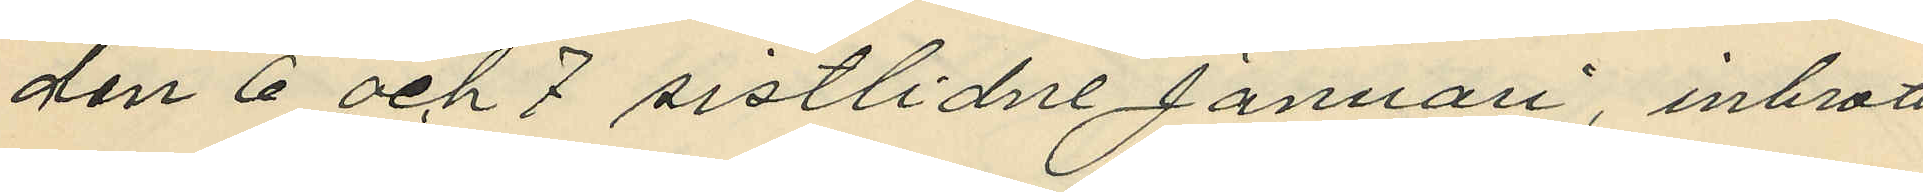den 6 och 7 sistlidne Januari, inbrott
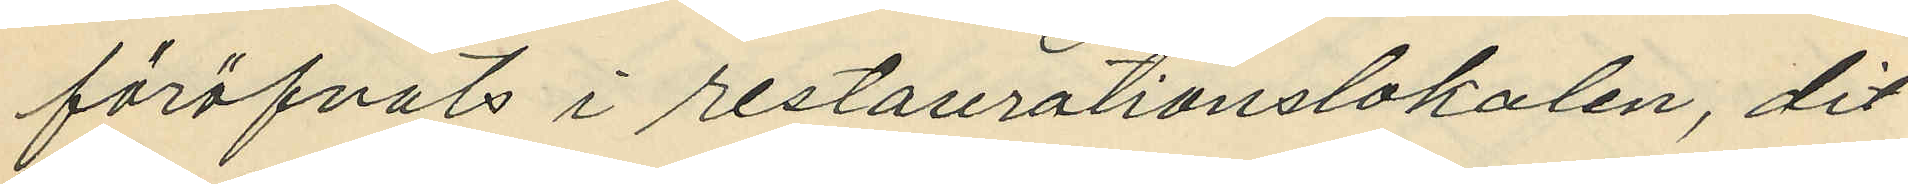föröfvats i restaurationslokalen, dit
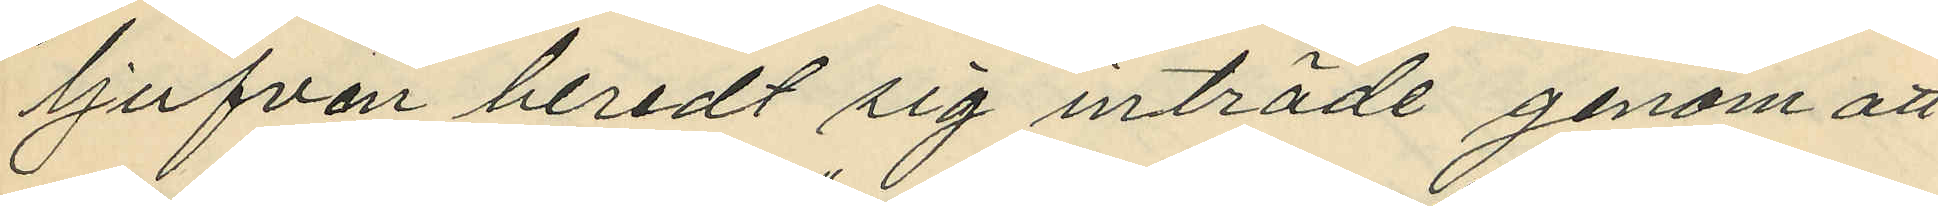tjufven beredt sig inträde genom att
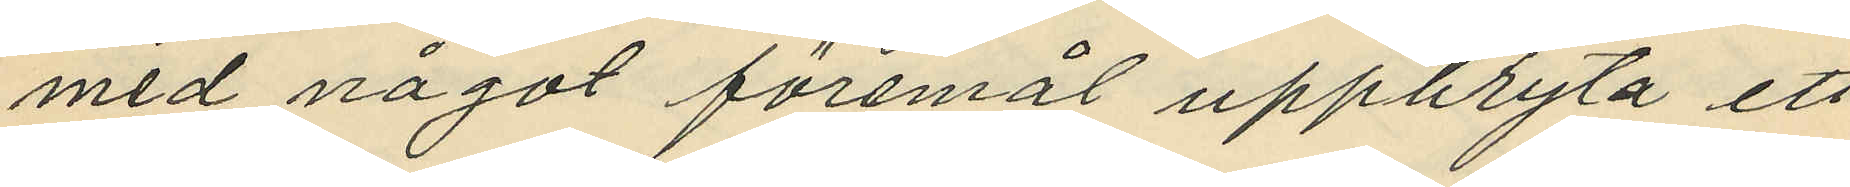med något föremål uppbryta ett
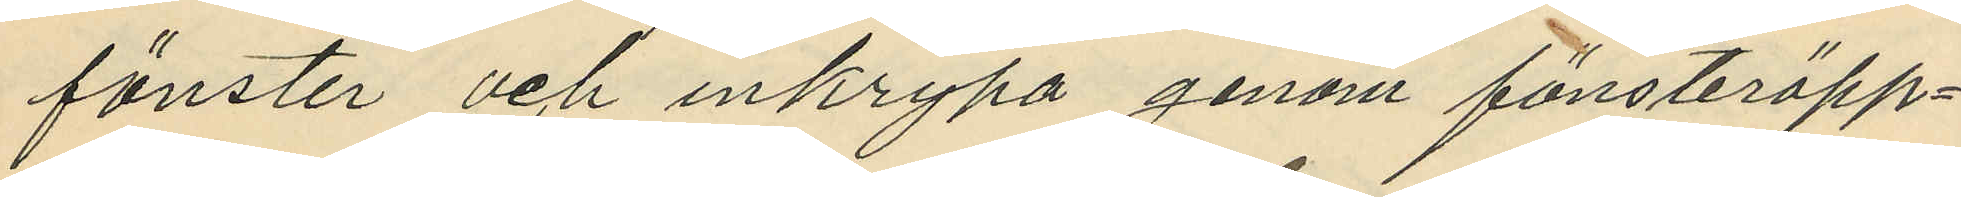fönster och inkrypa genom fönsteröpp¬
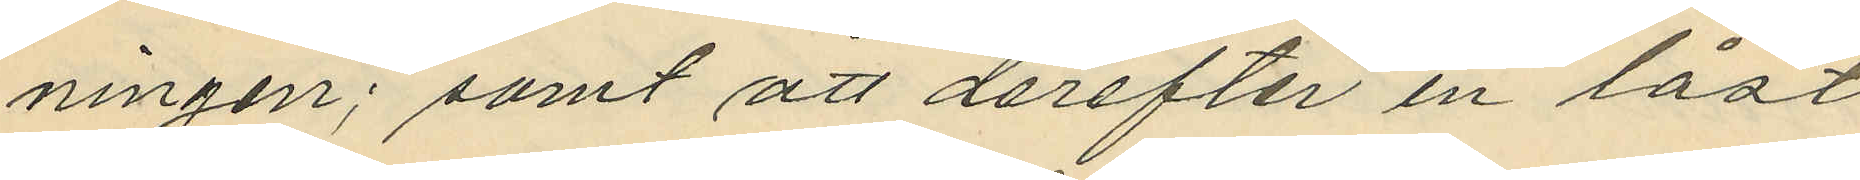ningen; samt att derefter en låst
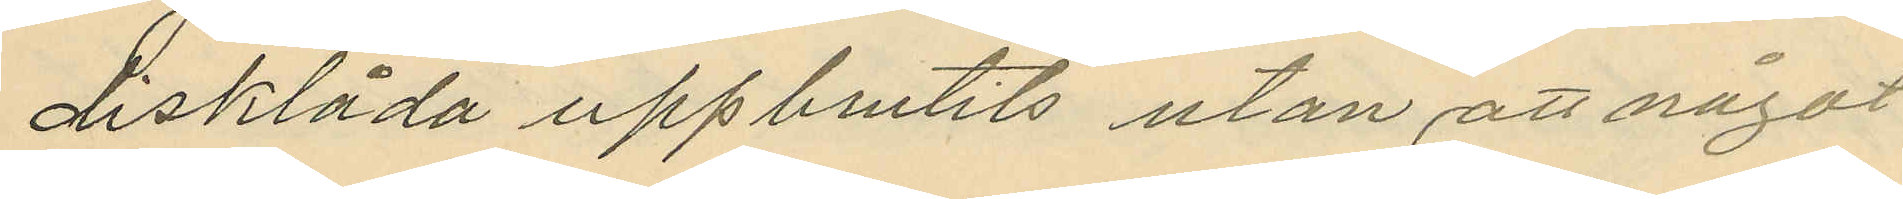disklåda uppbrutits utan att något
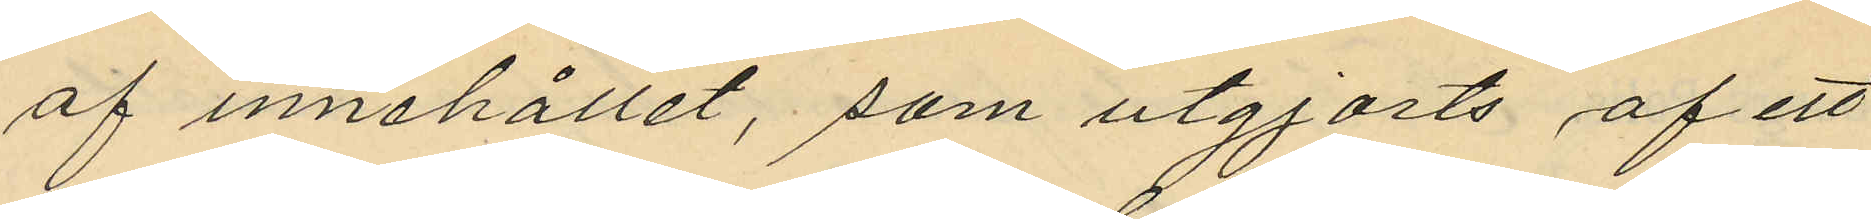af innehållet, som utgjorts af ett
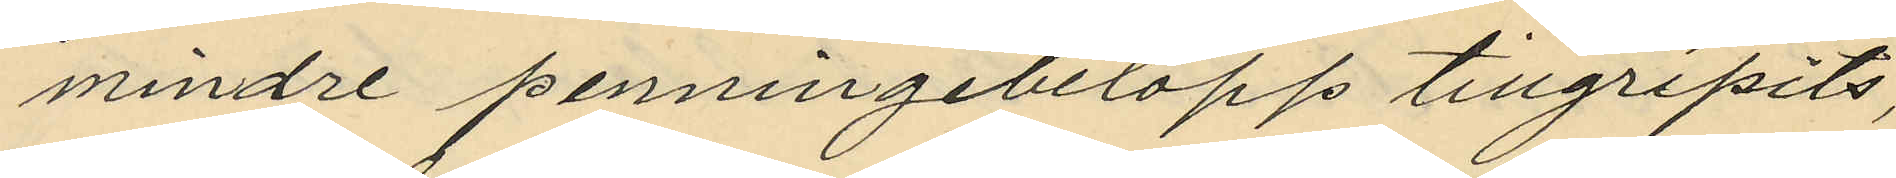mindre penningbelopp tillgripits,
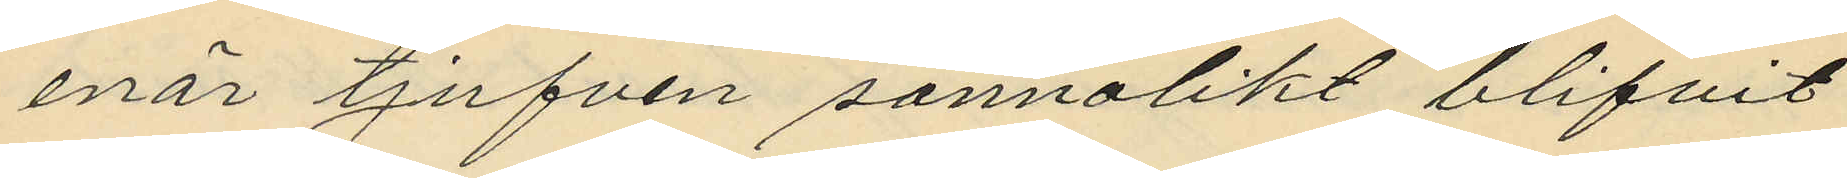enär tjufven sannolikt blifvit
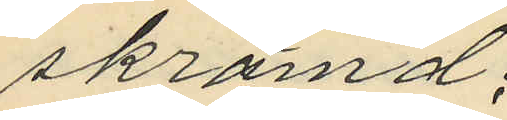skrämd;
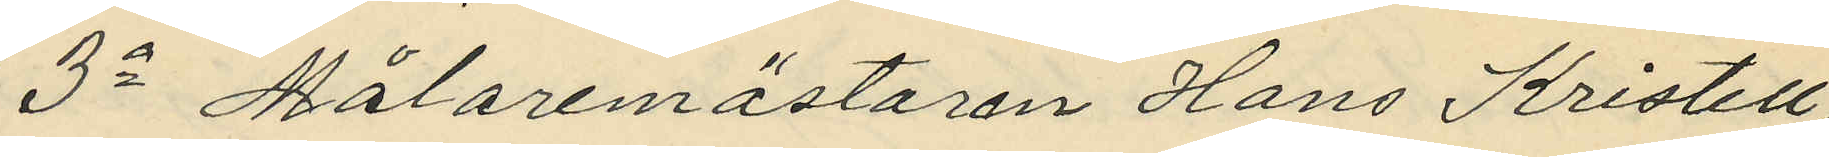3o Målaremästaren Hans Kristell,
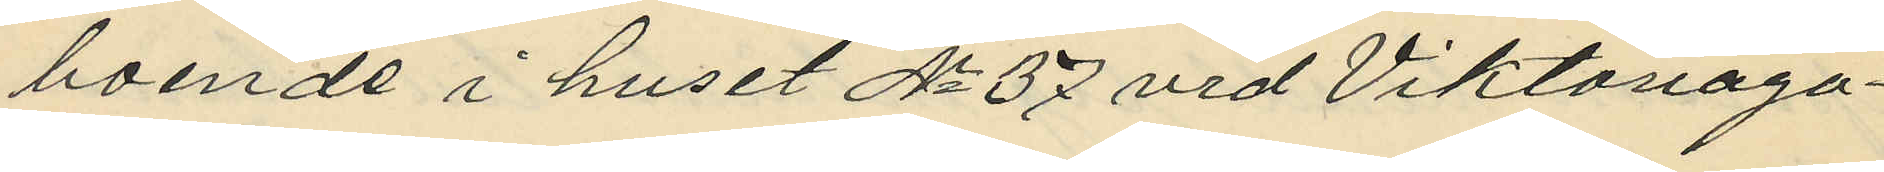boende i huset No 37 vid Viktoriaga¬
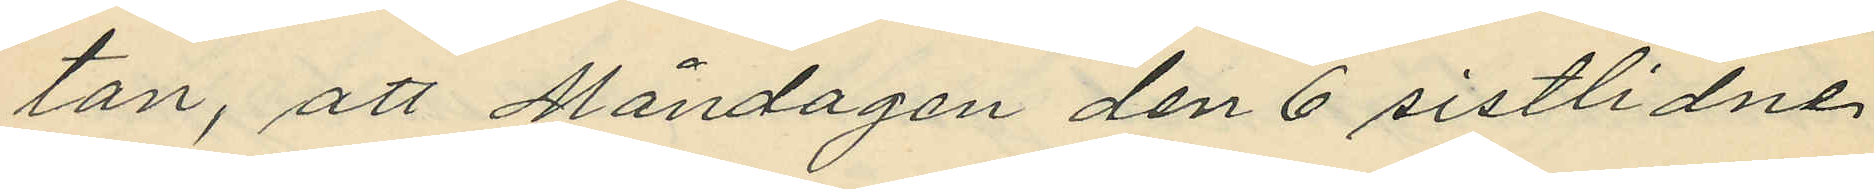tan, att Måndagen den 6 sistlidne
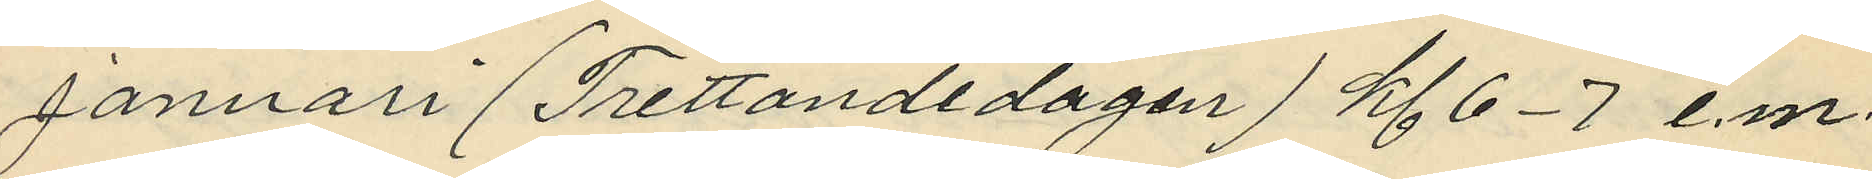januari (Trettondedagen) kl 6-7 e.m.
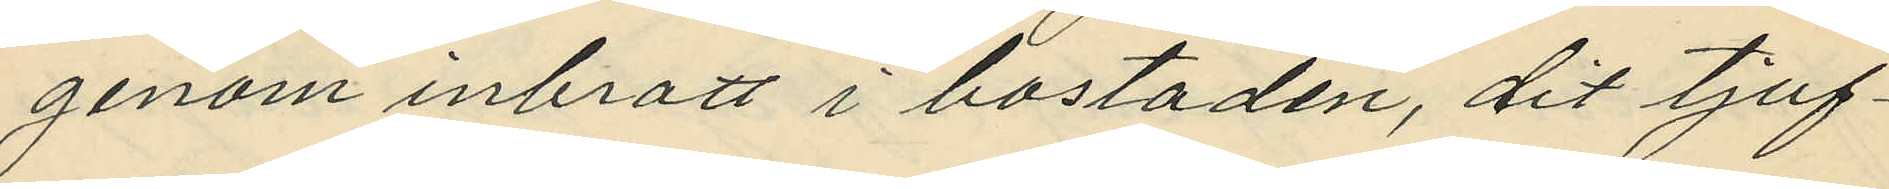genom inbrott i bostaden, dit tjuf¬
